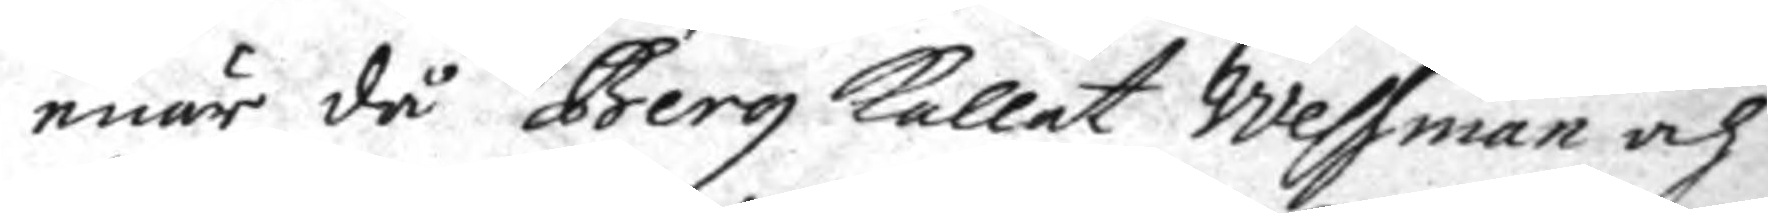enär då Berg kallat Wessman och
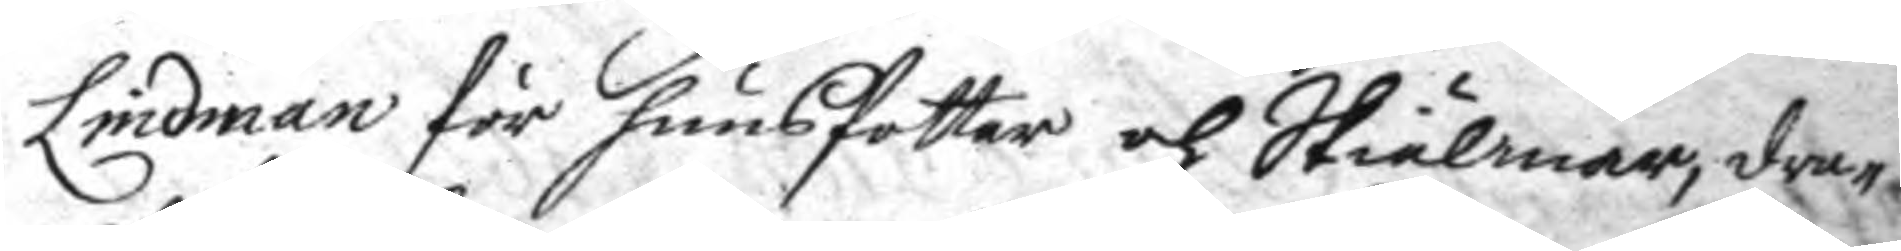Lindman för hunsfotter och Skiälmar, dra¬
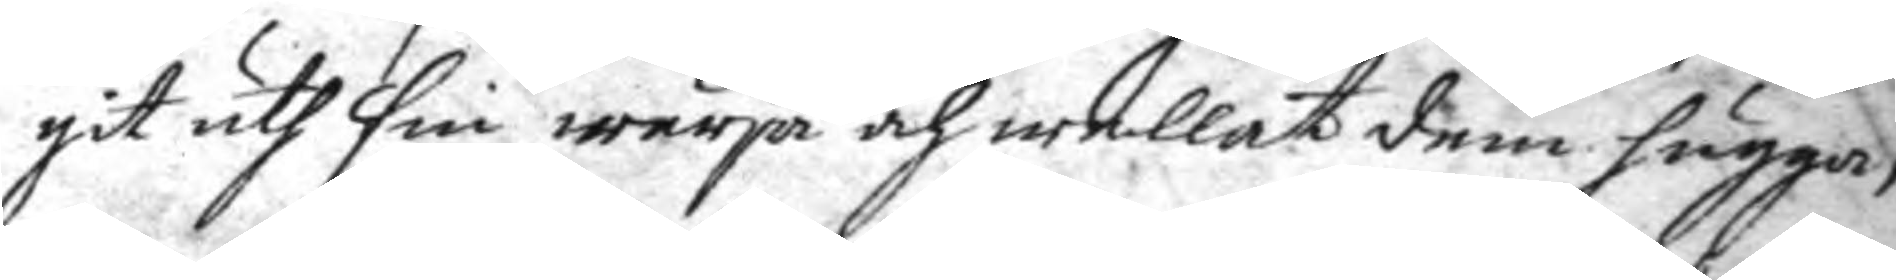git uth sim wärja och wellat dem hugga,
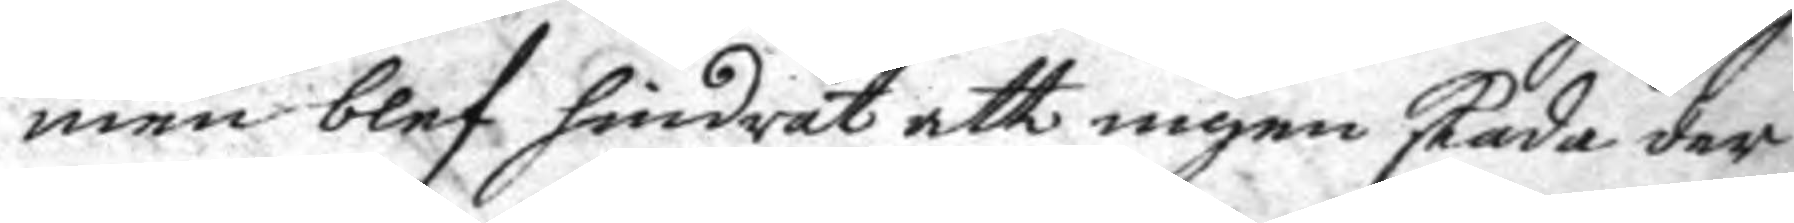men blef hindrat att ingen skada der
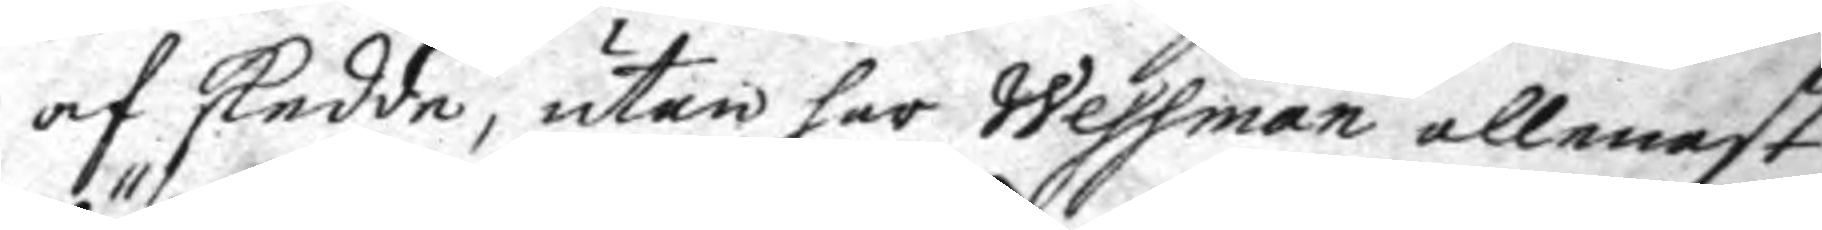af skedde, utan har Wessman allenast
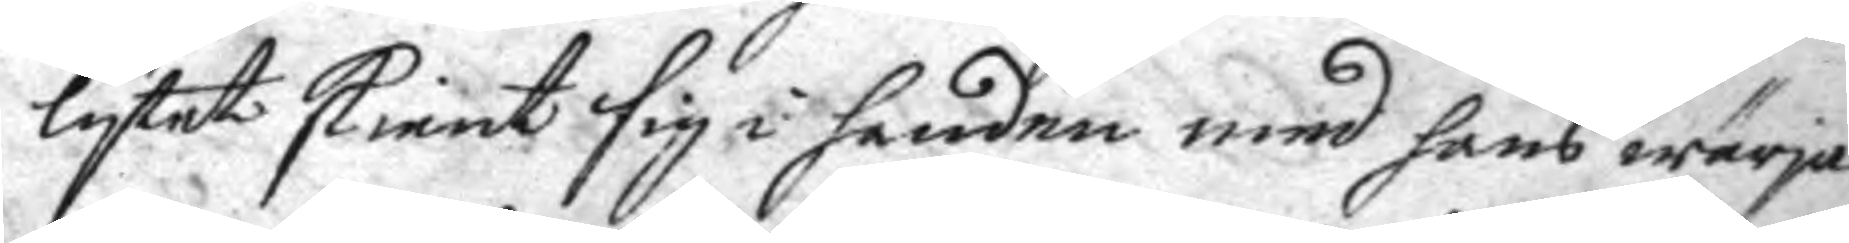lytet skient sig i handen med hans wärja
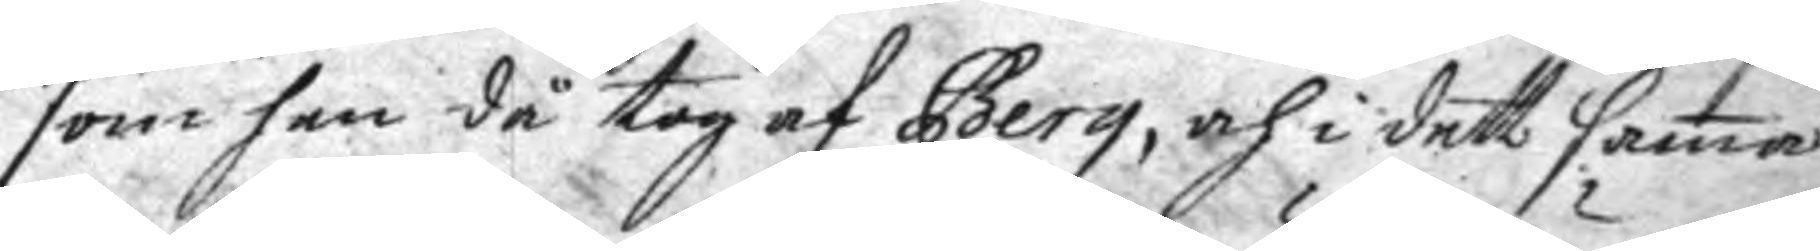som han då tog af Berg, och i dett sama
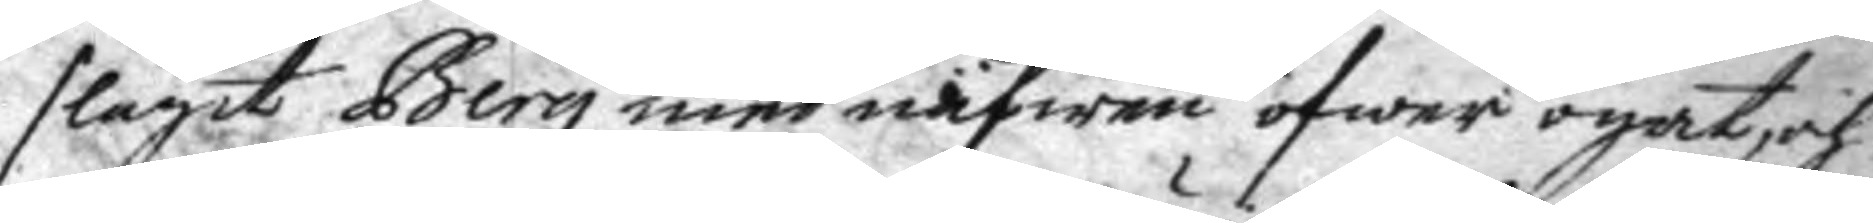slagit Berg med näfwen öfwer ögat, och
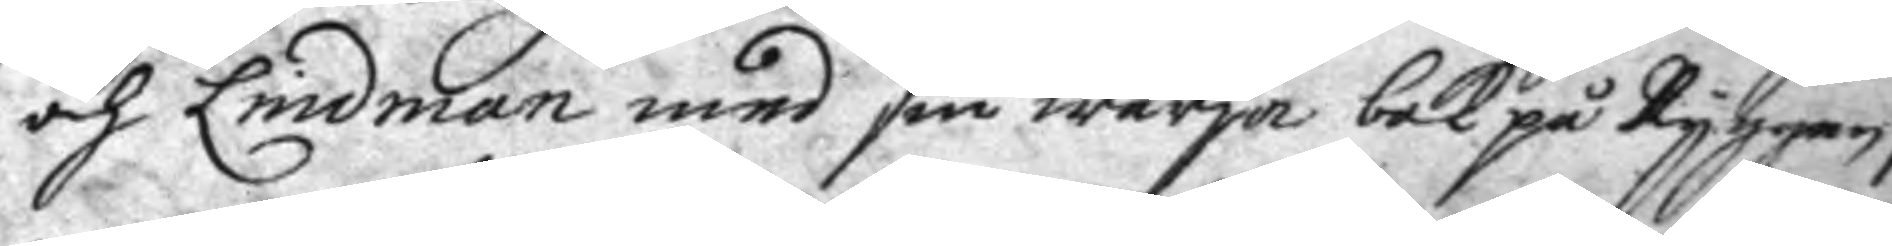och Lindman med sin wärja bak på Ryggen,
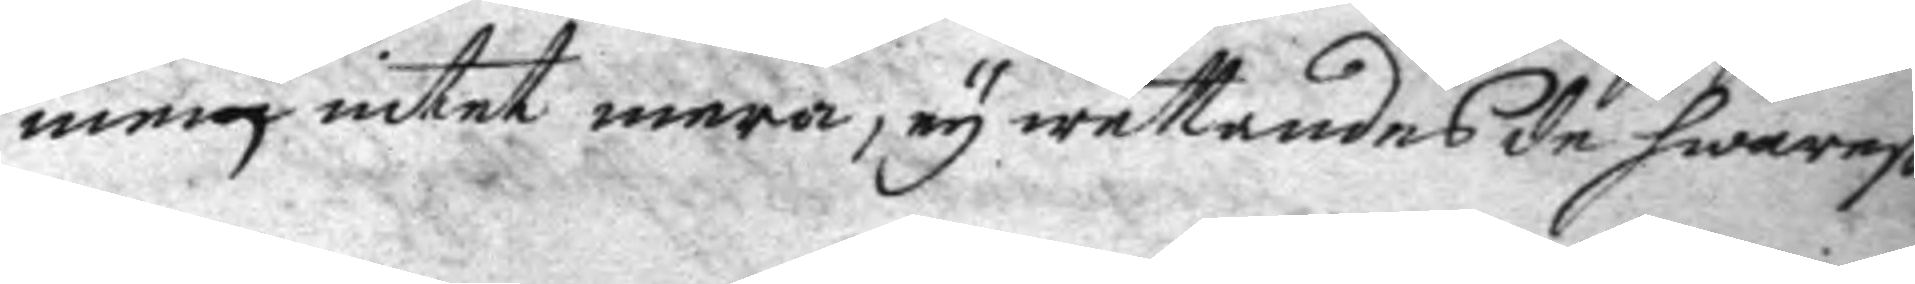men intet mera, ey wettandes de swarat
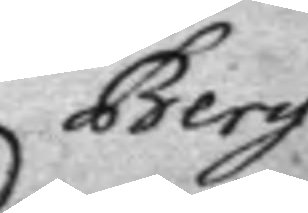Berg
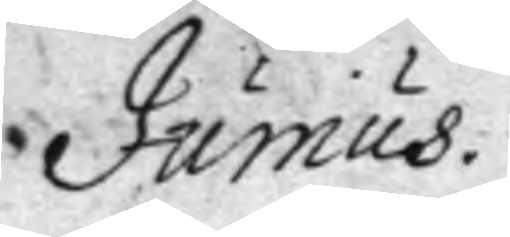Junius.
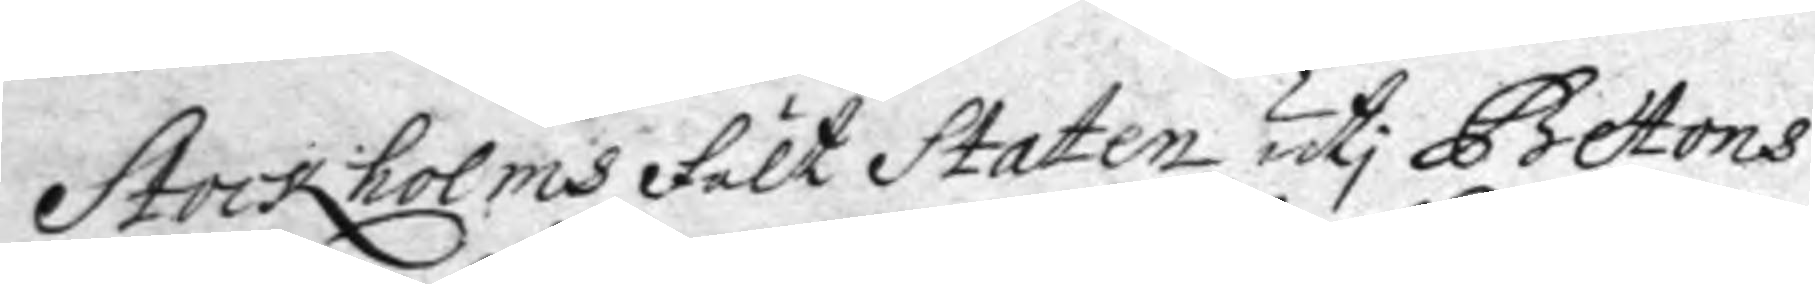Stockholms Fält Staten uti Betons
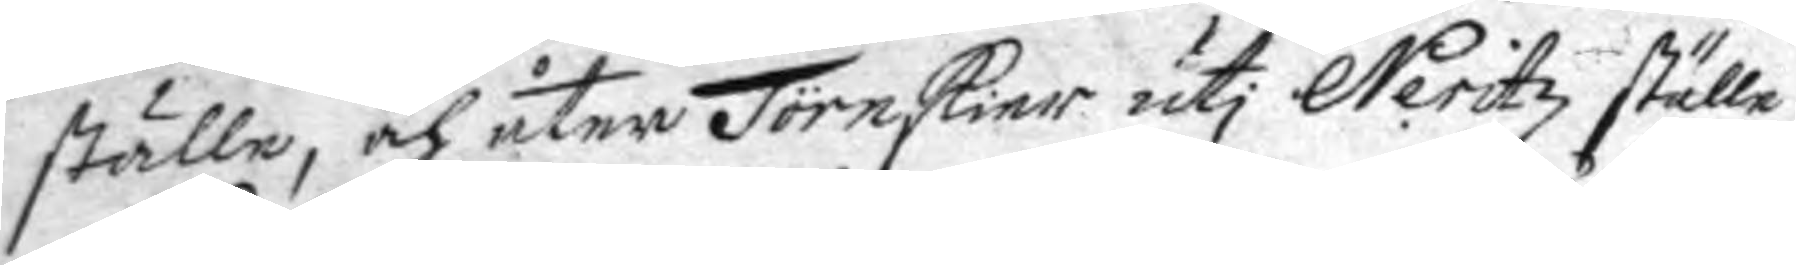ställe, och åter Törnskier uti Neritzställe
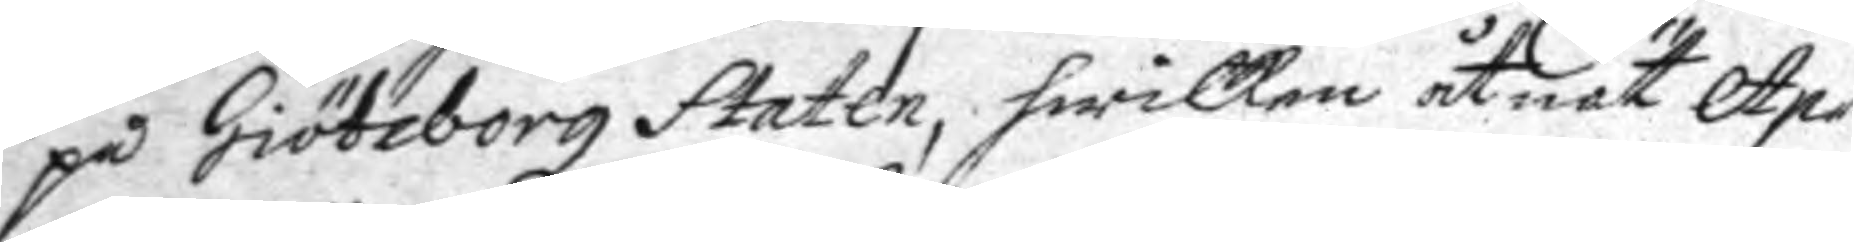på Giöteborgz Staten, hwilken åtnöt Ap¬
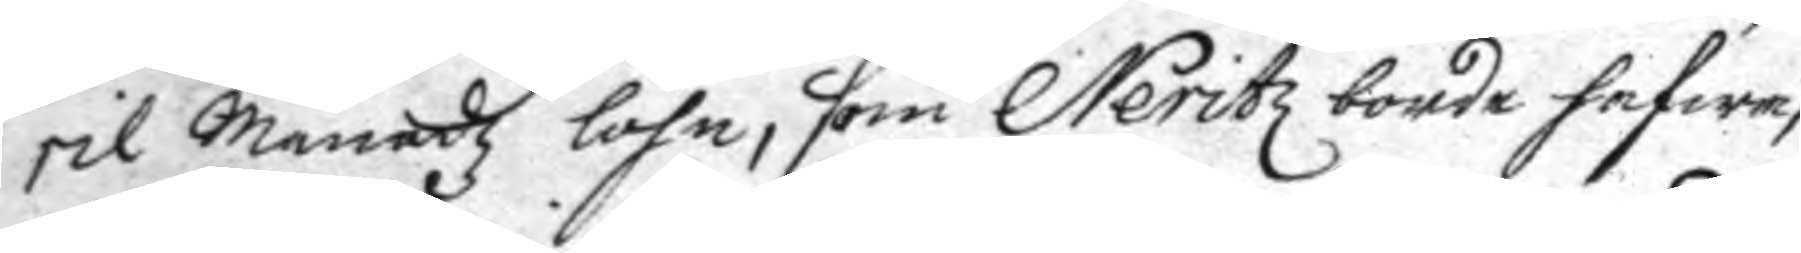rilMånadz löhn, som Neritz borde hafwa,
